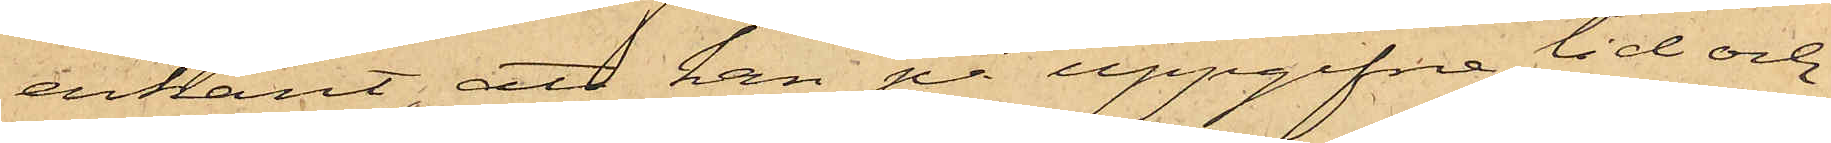erkänt, att han på uppgifna tid och
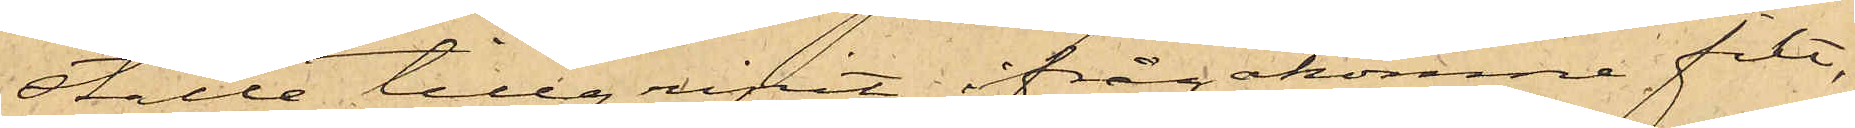ställe tillgripit ifrågakomne filt,
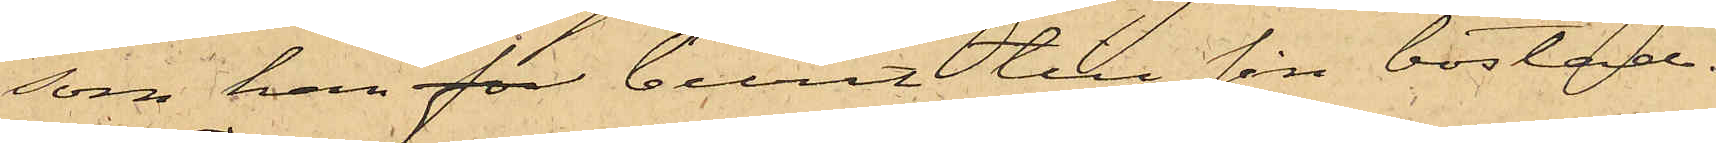som han for burit till sin bostad.
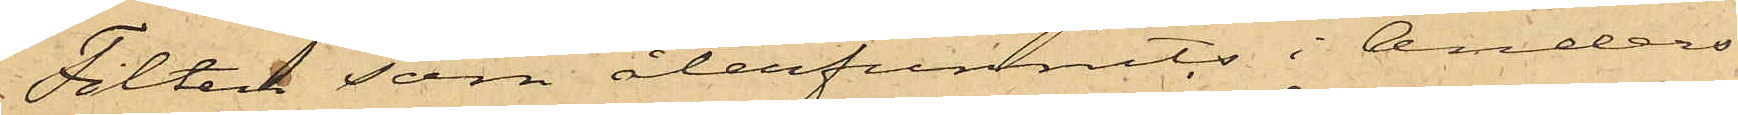Filten som återfunnits i Anders¬
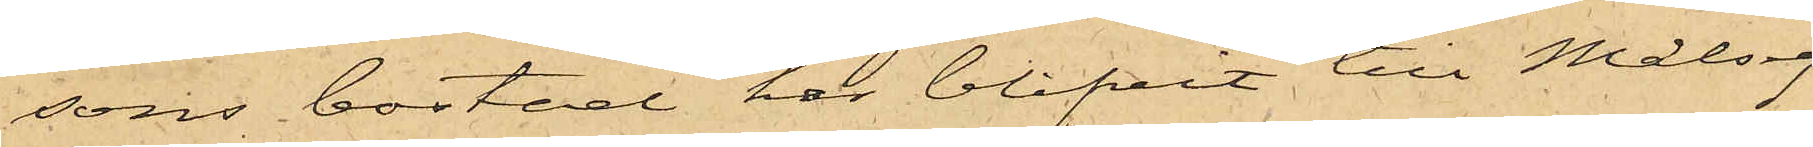sons bostad har blifvit till Målseg.
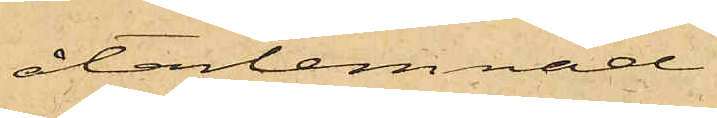återlemnad.
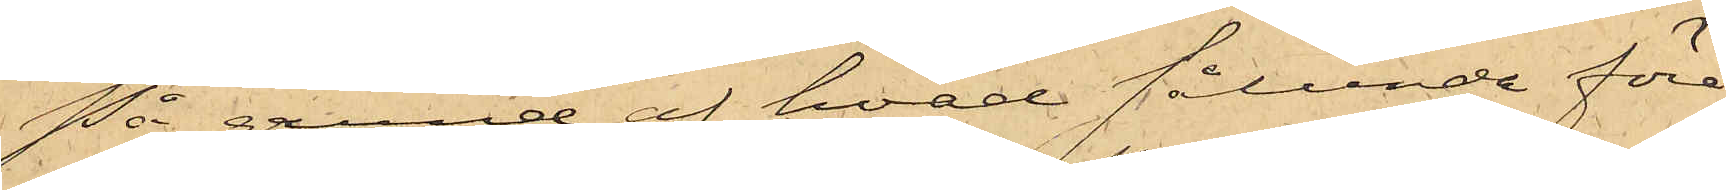På grund af hvad sålunda före¬
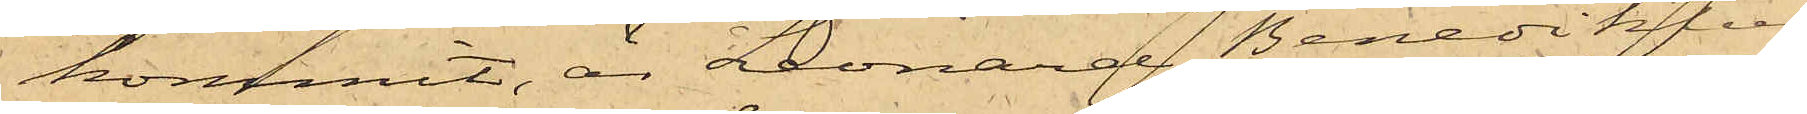kommit, är Leonard Benediktus
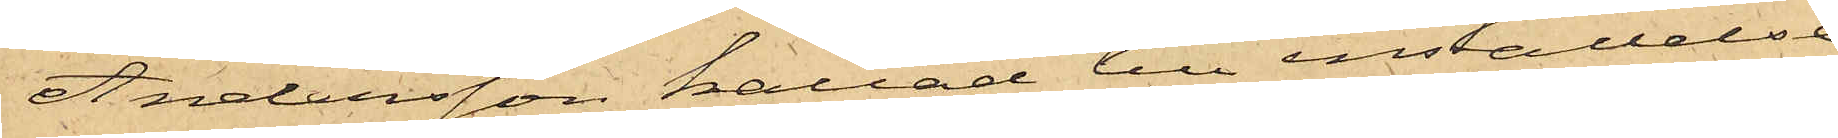Andersson kallad till inställelse
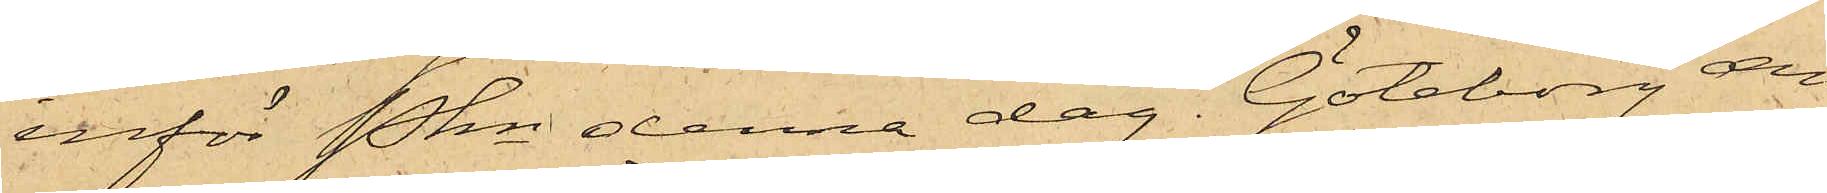inför Pkn denna dag. Göteborg den
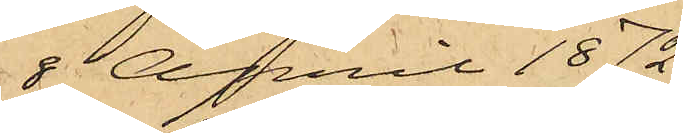8 April 1872.
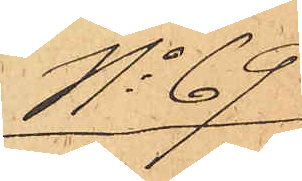No 69
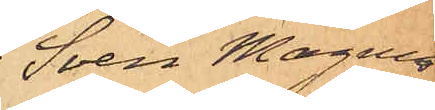Sven Magnus
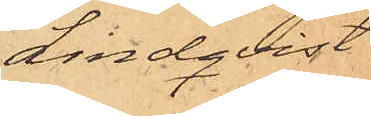Lindqvist.
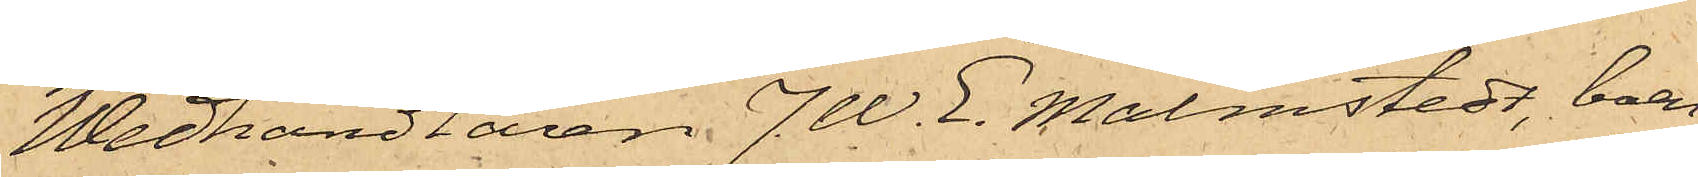Wedhandlaren J. W. E. Malmstedt, boen¬
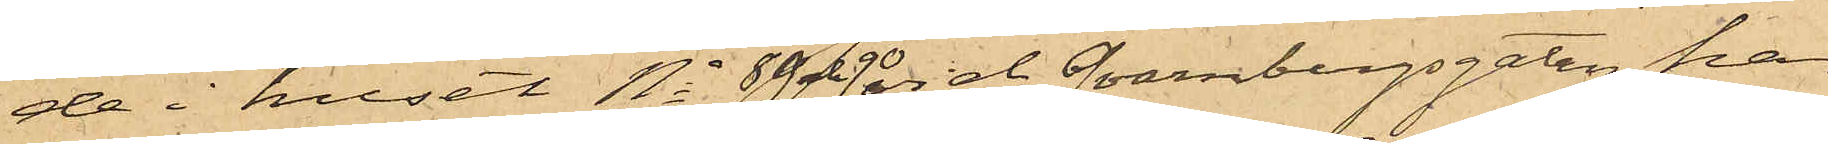de i huset No 89 och 90 vid Qvarnbergsgatan har
